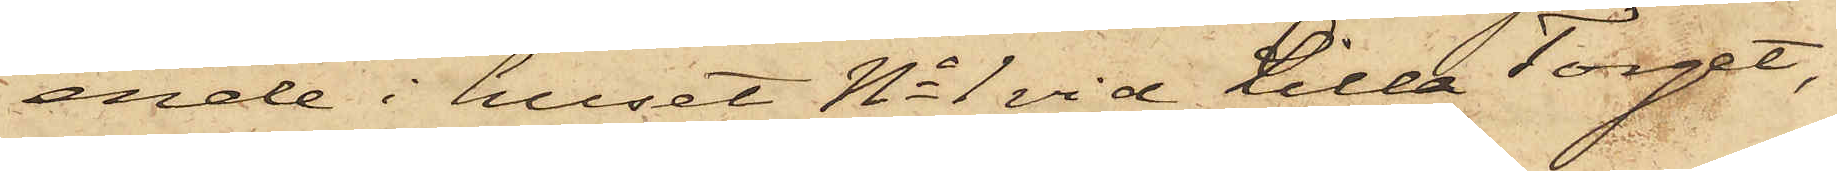ende i huset No 1 vid Lilla Torget,
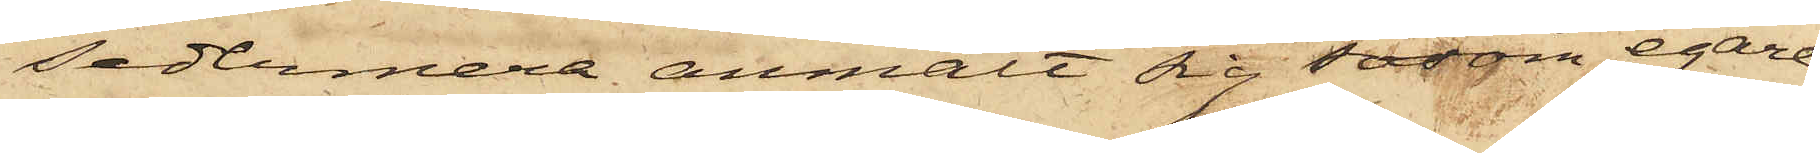sedermera anmält sig såsom egare,
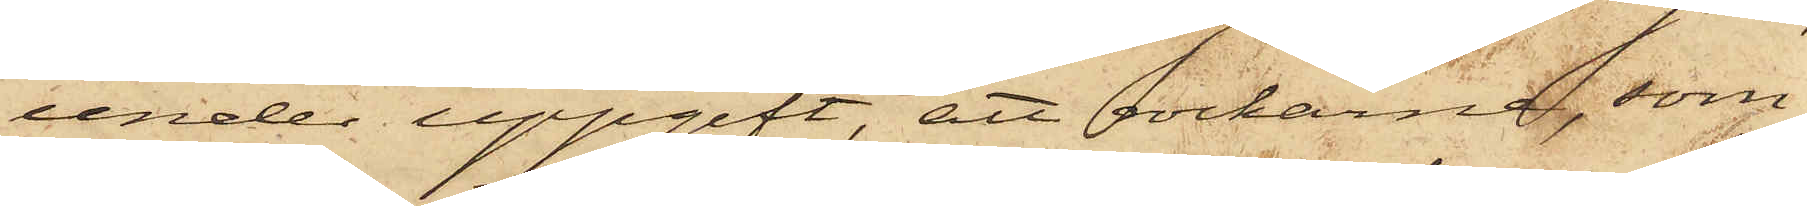under uppgift, att rockarna, som
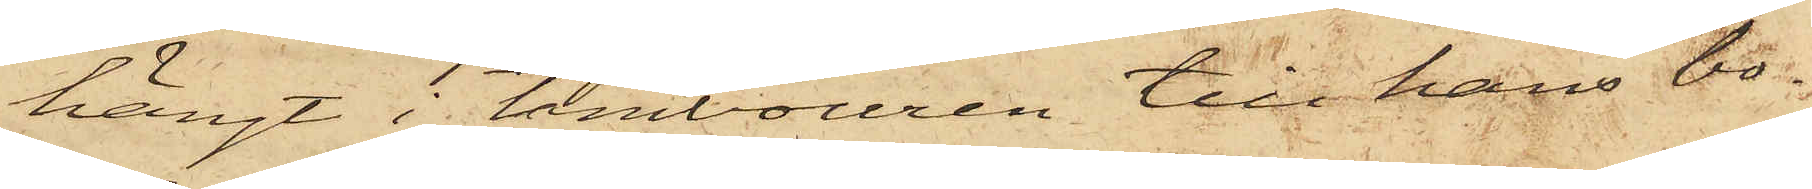hängt i tambouren till hans bo¬
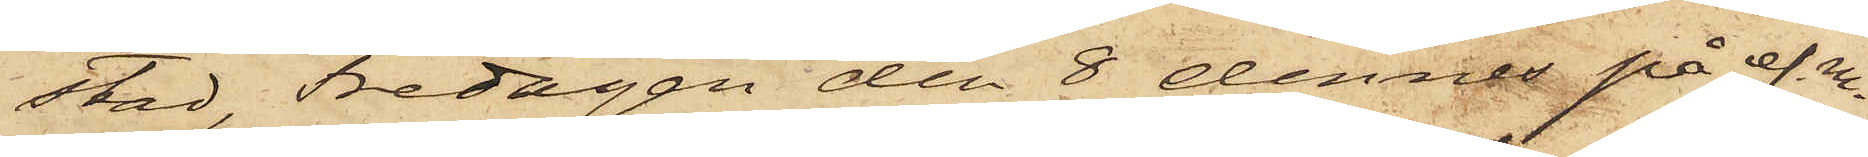stad, Fredagen den 8 denne på ef.m.
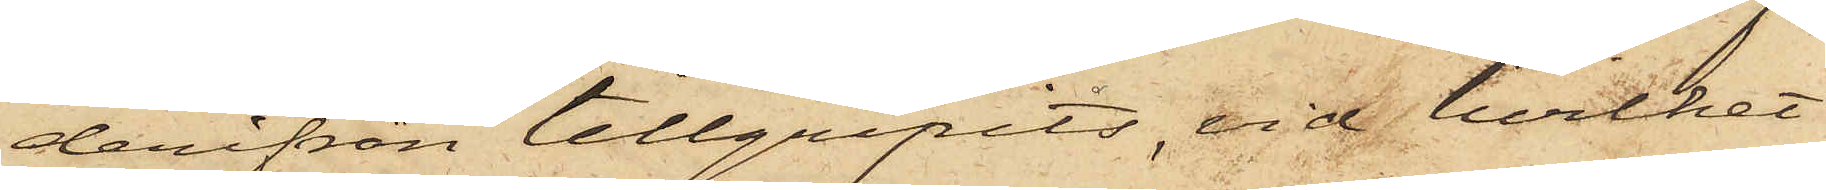derifrån tillgripits, vid hvilket
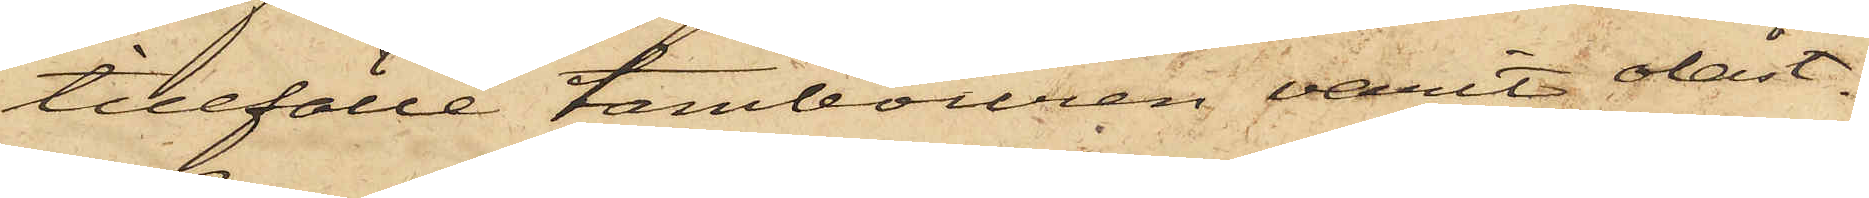tillfälle tambouren varit olåst.
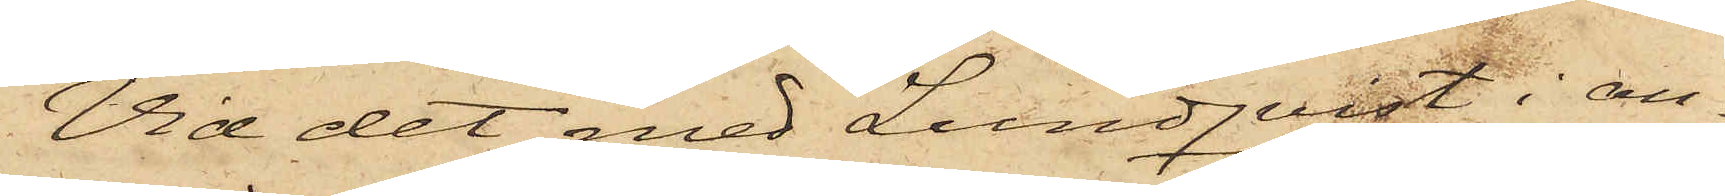Vid det med Lundqvist i an¬
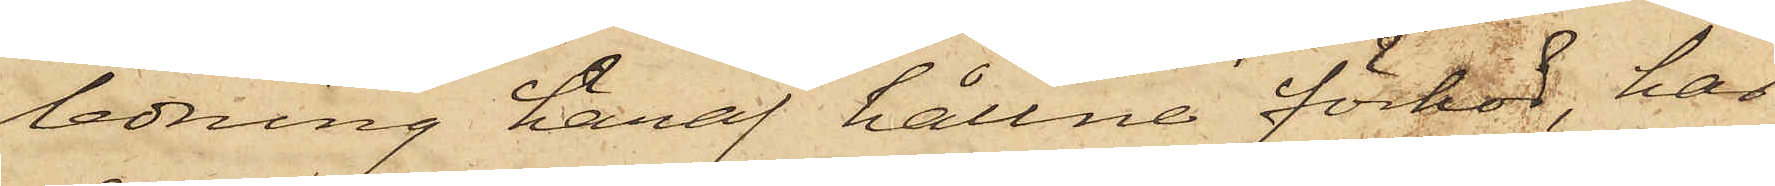ledning häraf hållne förhör, har
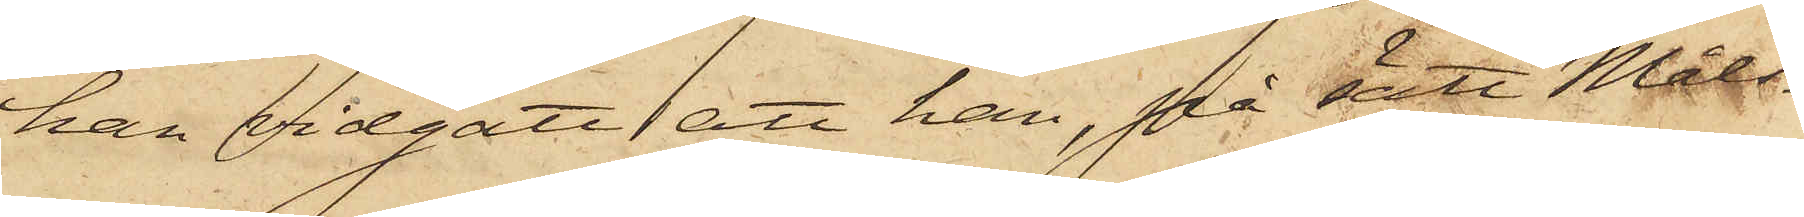han vidgått, att han, på sätt Måls¬
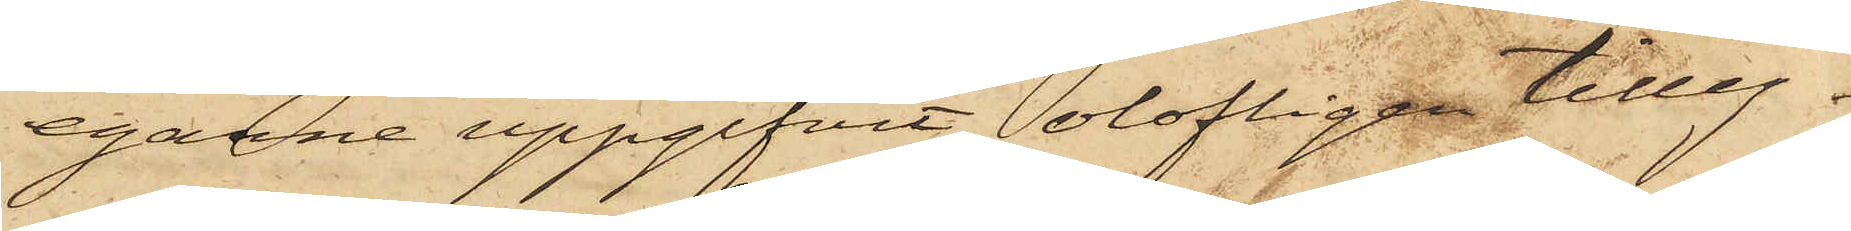egarne uppgifvit, olofligen tilleg¬
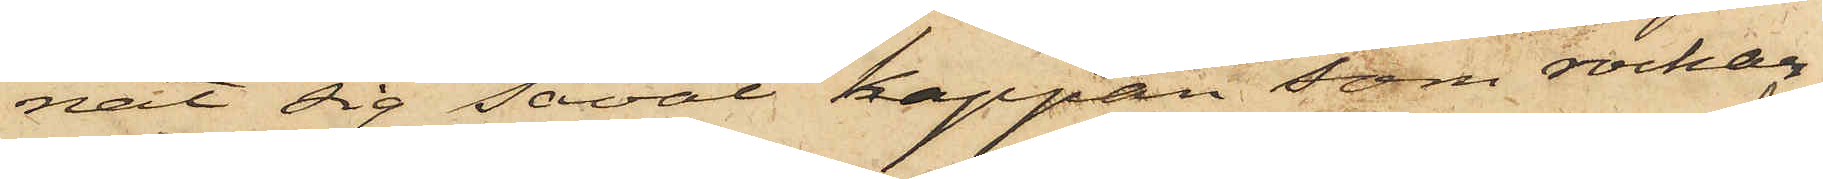nat sig såväl kappan som rockar¬
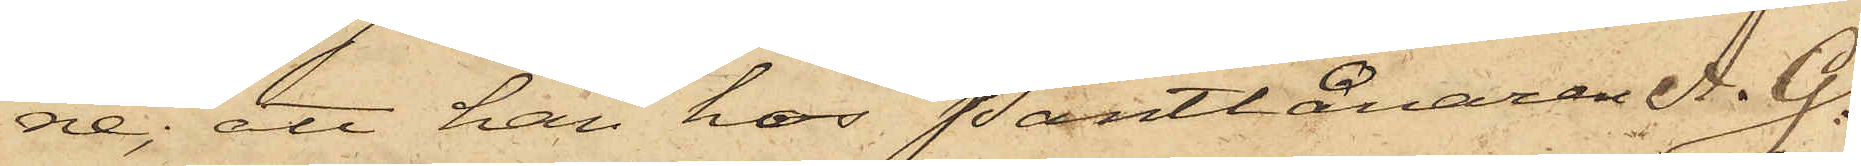ne; att han hos Pantlånaren A. G.
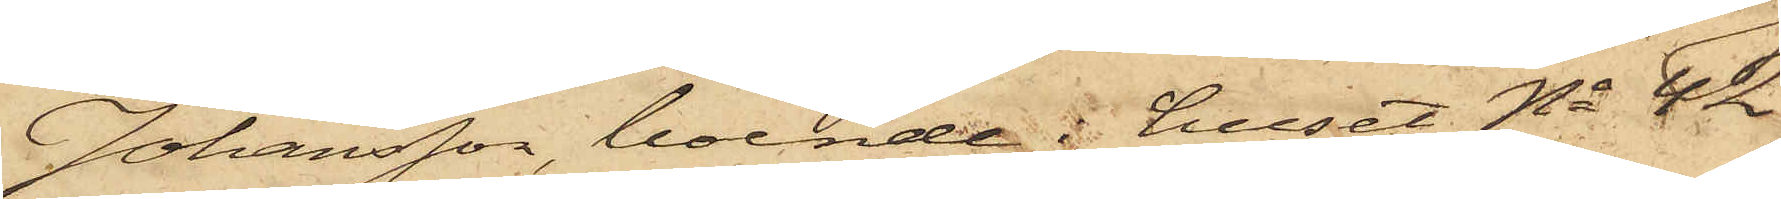Johansson, boende i huset No 42
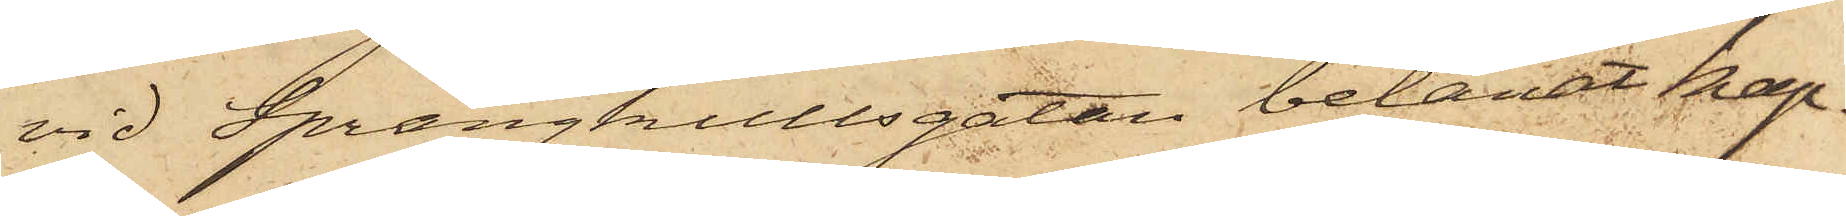vid Sprängkullsgatan belånat kap¬
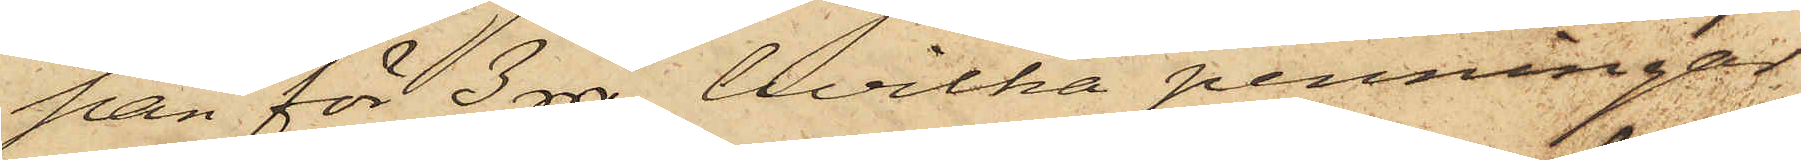pan för 3 rdr, hvilka penningar
